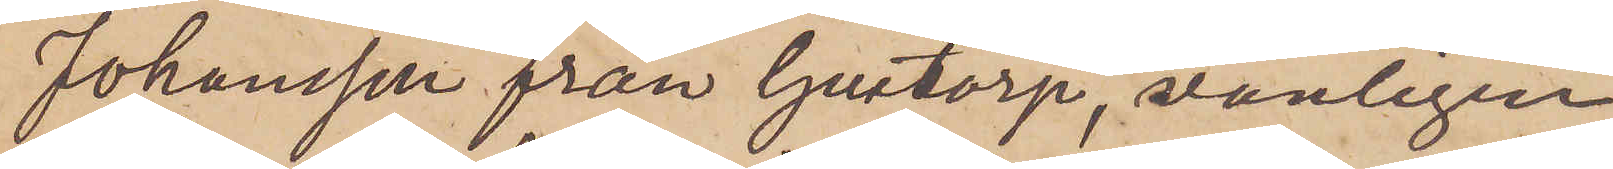Johansson från Gustorp, vanligen
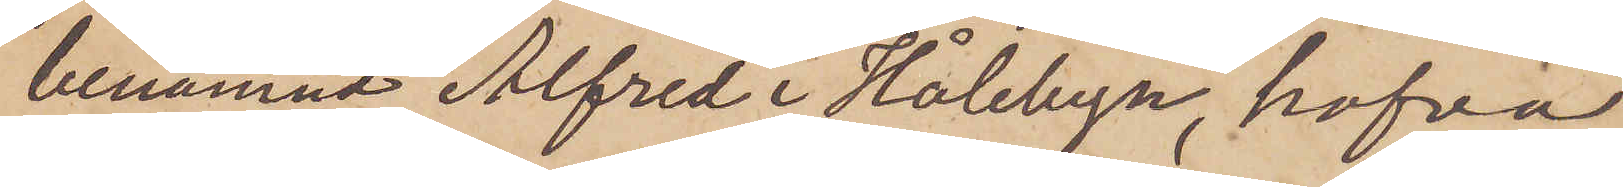benämnd Alfred i Hålebyn, hafva
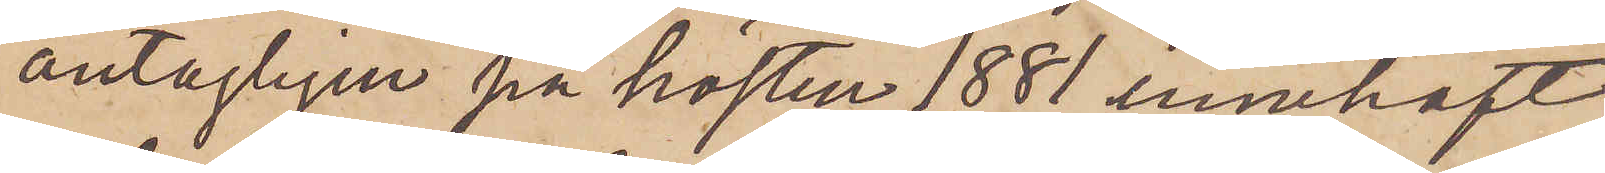antagligen på hösten 1881 innehaft
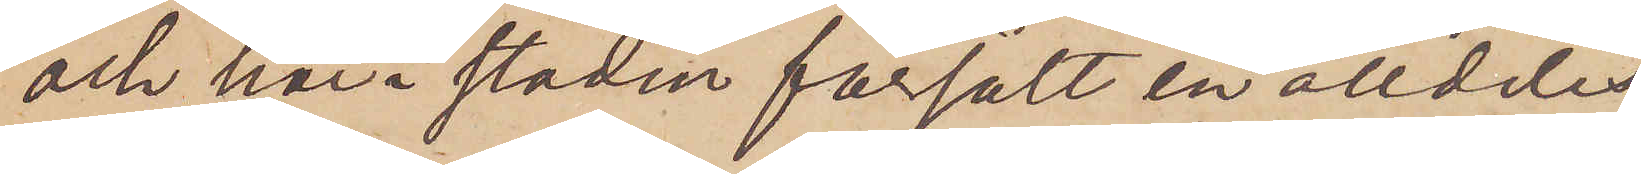och här i staden försålt en alldeles
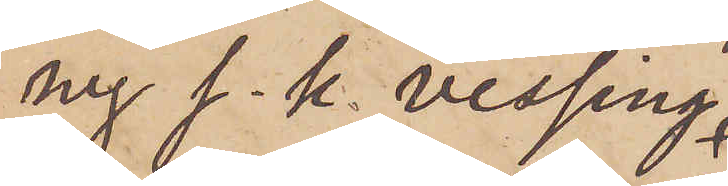ny s. k. vessing,
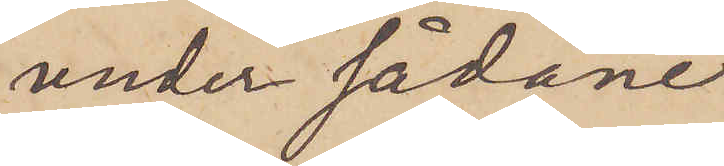under sådane
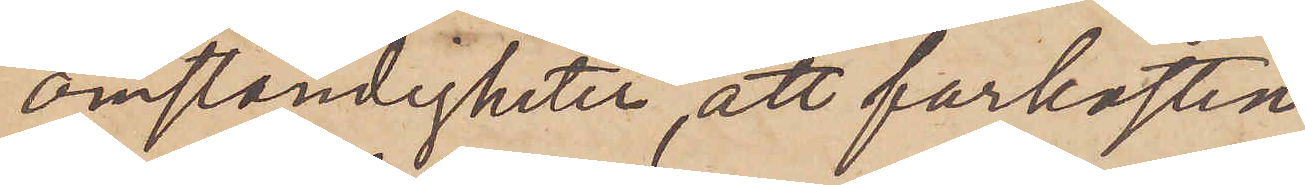omständigheter att farkosten
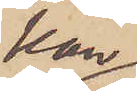kan
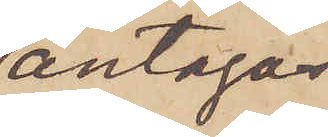antagas
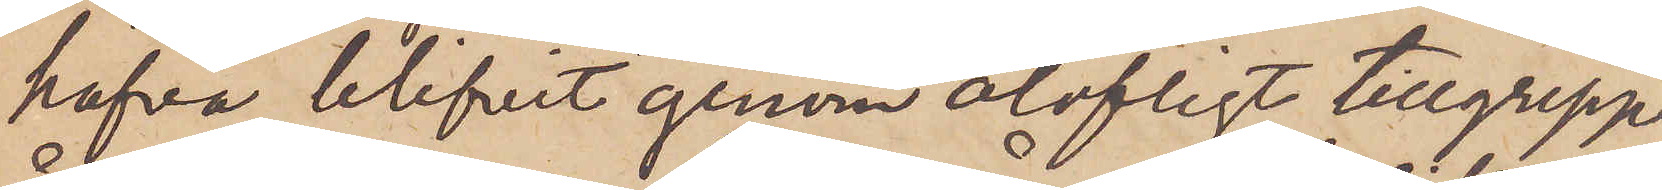hafva blifvit genom olofligt tillgrepp
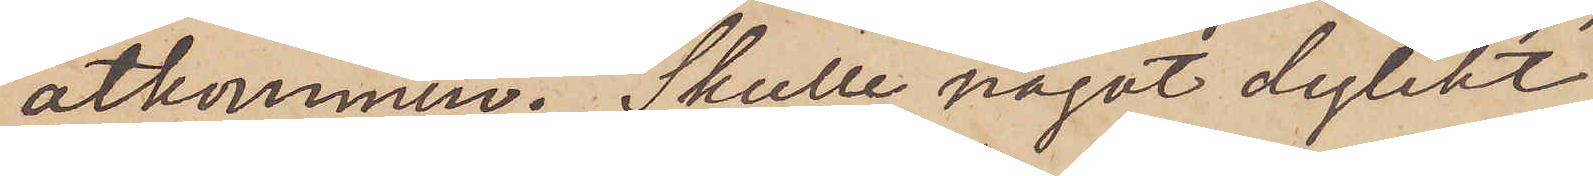åtkommen. Skulle något dylikt
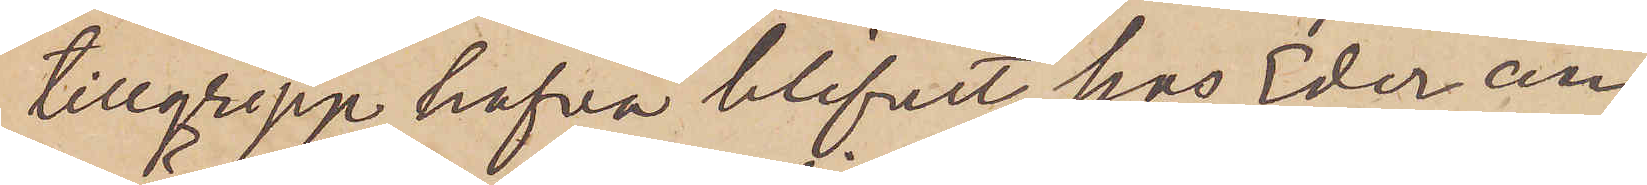tillgrepp hafva blifvit hos Eder an¬
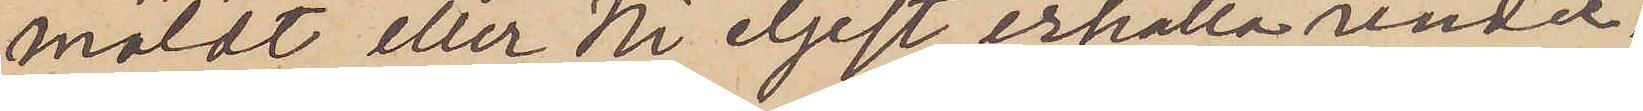mäldt eller Ni eljest erhålla under¬
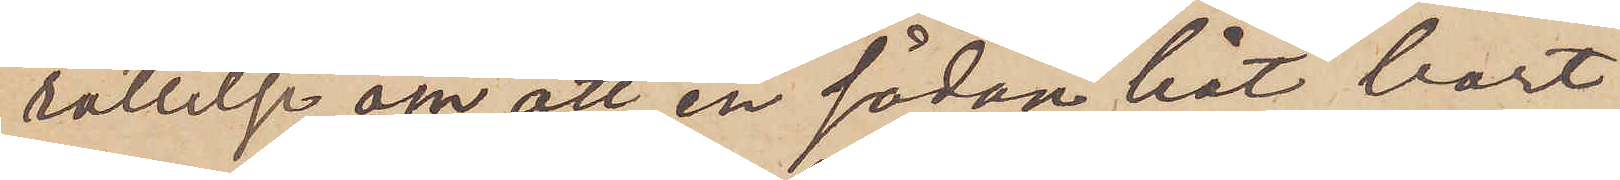rättelse om att en sådan båt bort¬
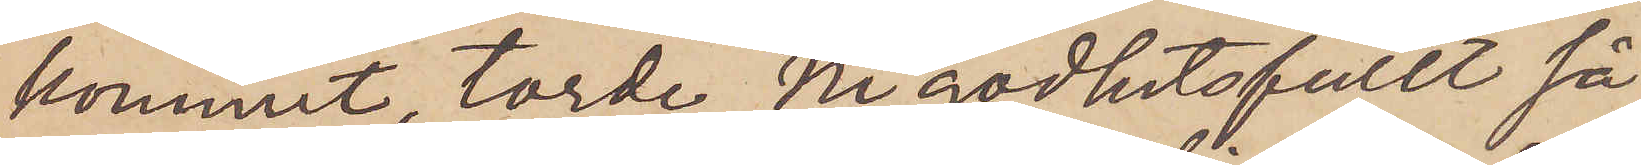kommit, torde Ni godhetsfullt så
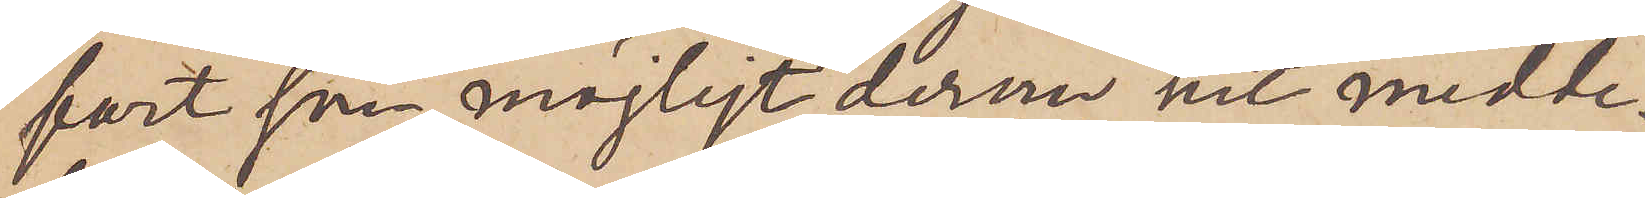fort som möjligt derom hit medde¬
